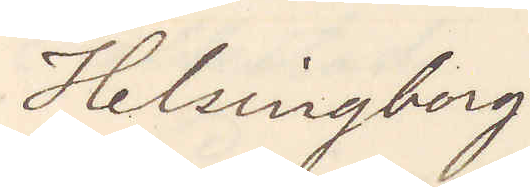Helsingborg
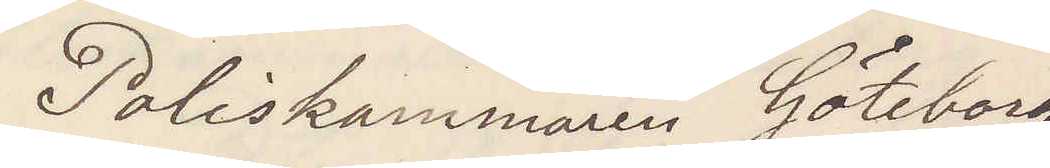Poliskammaren Göteborg
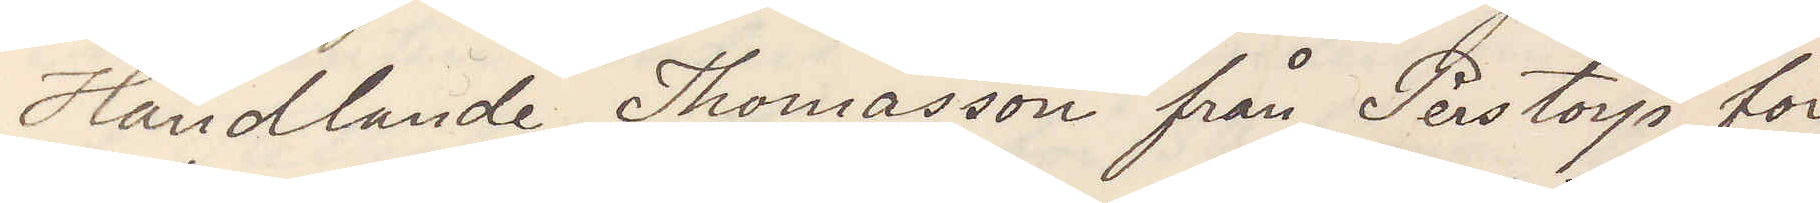Handlande Thomasson från Perstorp för¬
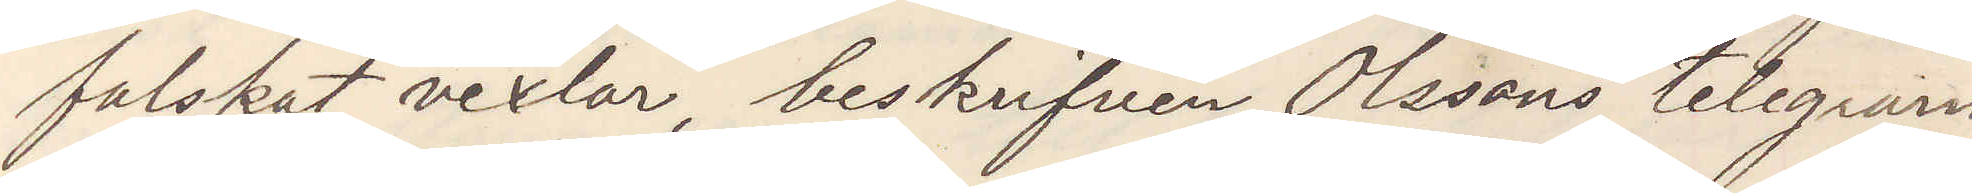falskat vexlar, beskrifven Olssons telegram
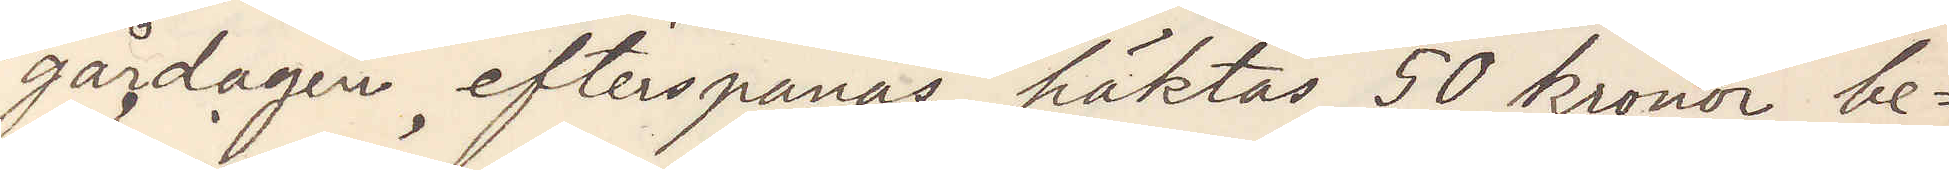gårdagen, efterspanas häktas 50 kronor be¬
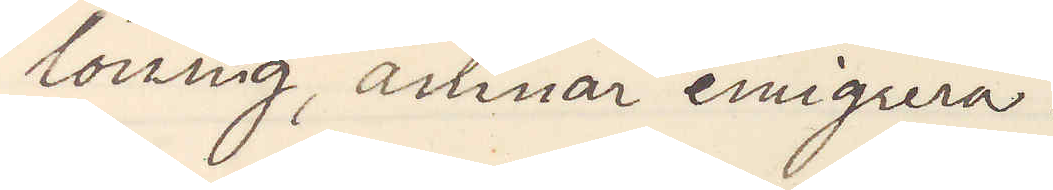löning, ämnar emigrera.
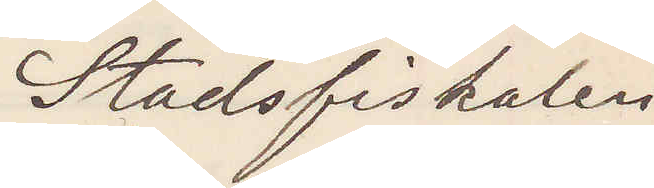Stadsfiskalen
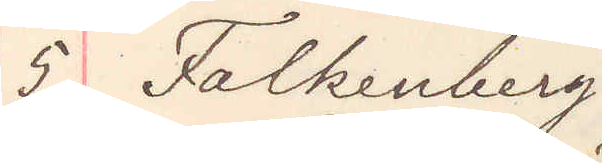5 Falkenberg.
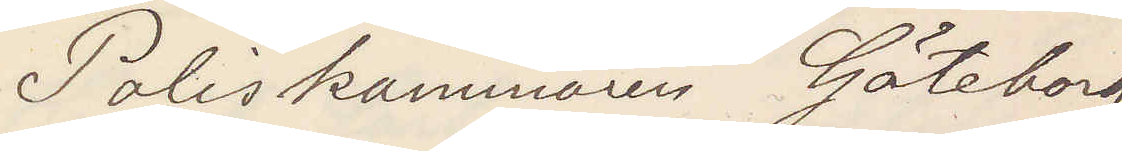Poliskammaren Göteborg
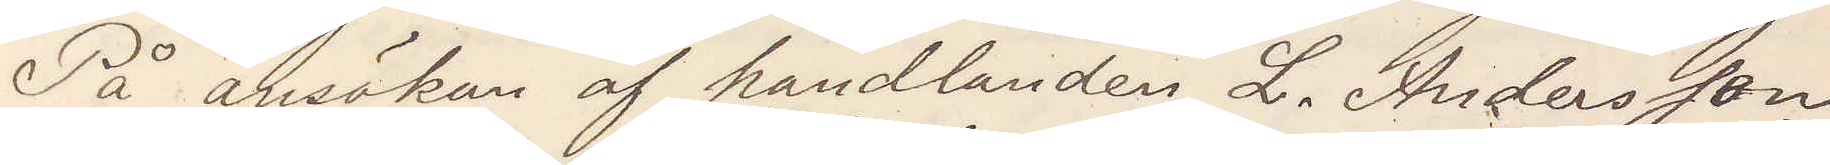På ansökan af handlanden L. Andersson
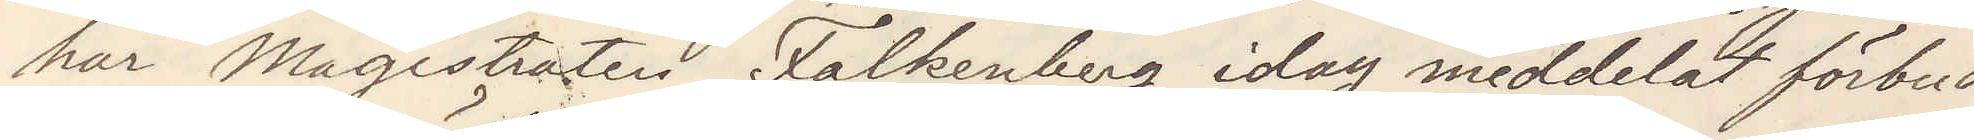har Magistraten Falkenberg idag meddelat förbud
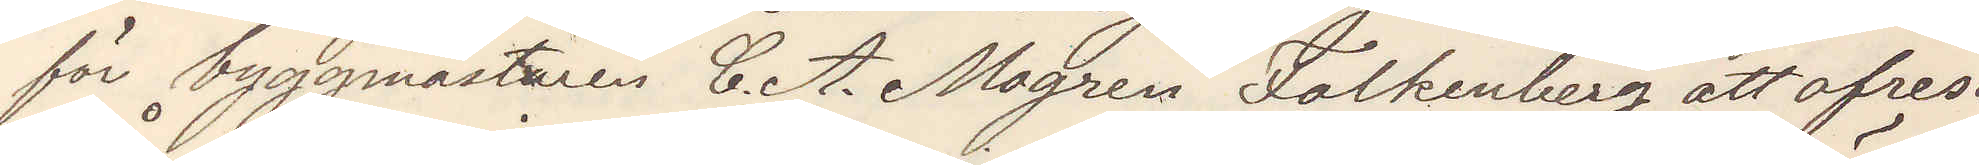för byggmästaren C. A. Mogren Falkenberg att afresa
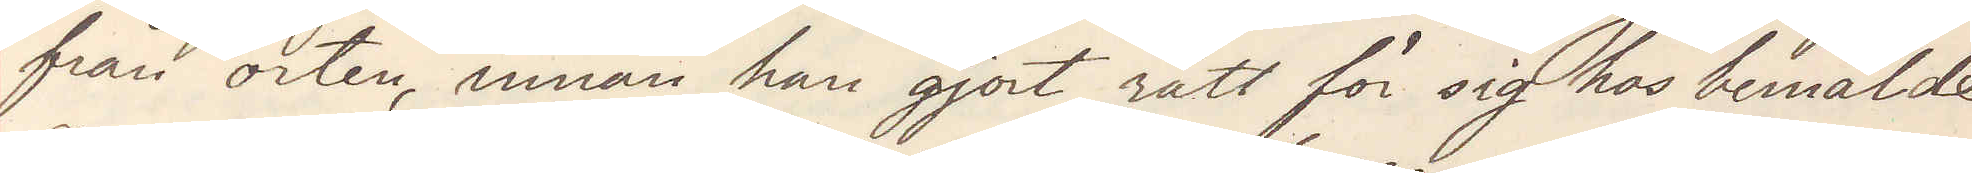från orten, innan han gjort rätt för sig hos bemälda
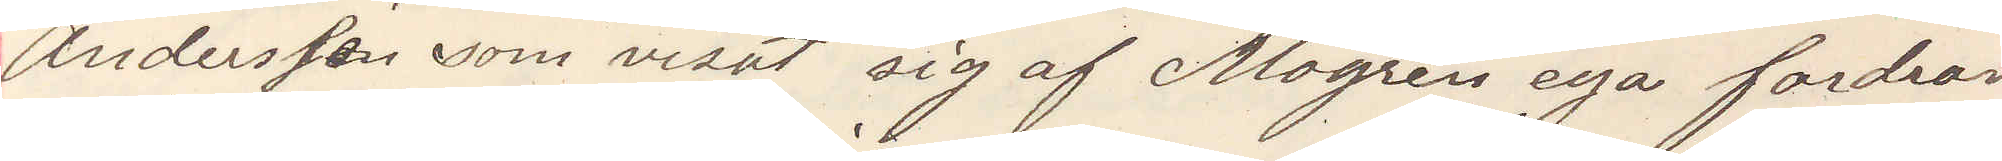Andersson som visat sig af Mogren ega fordran
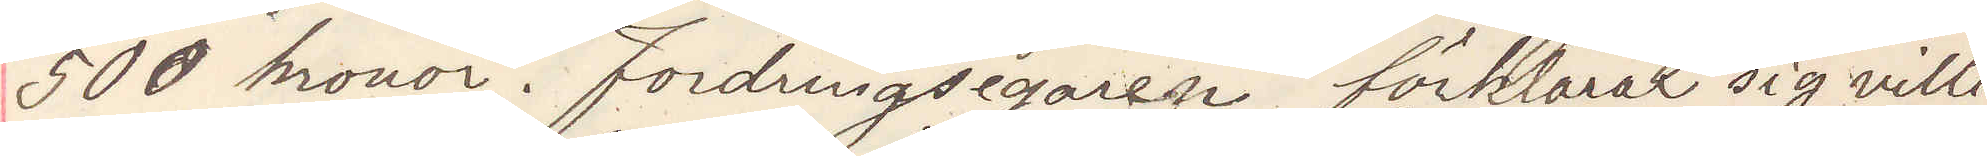500 kronor. Fordringsegaren förklarar sig villig
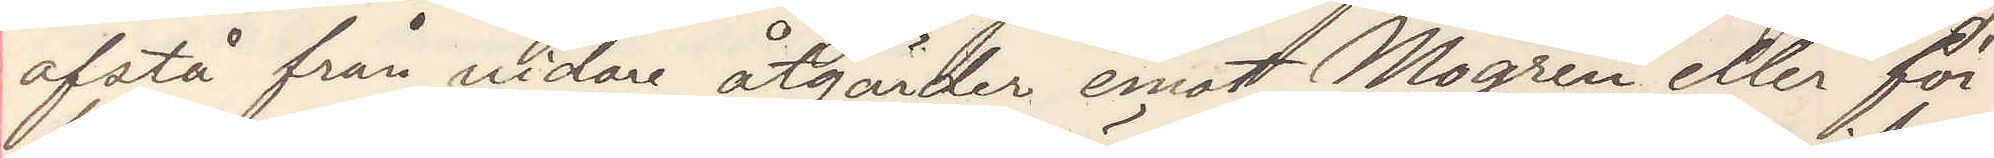afstå från vidare åtgärder emot Mogren eller för¬
